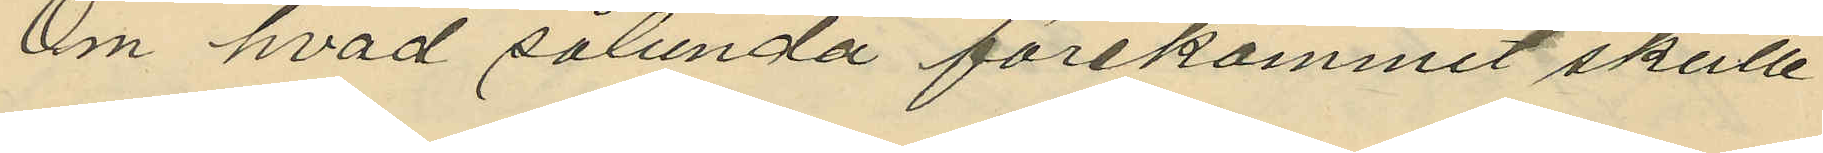Om hvad sålunda förekommit skulle
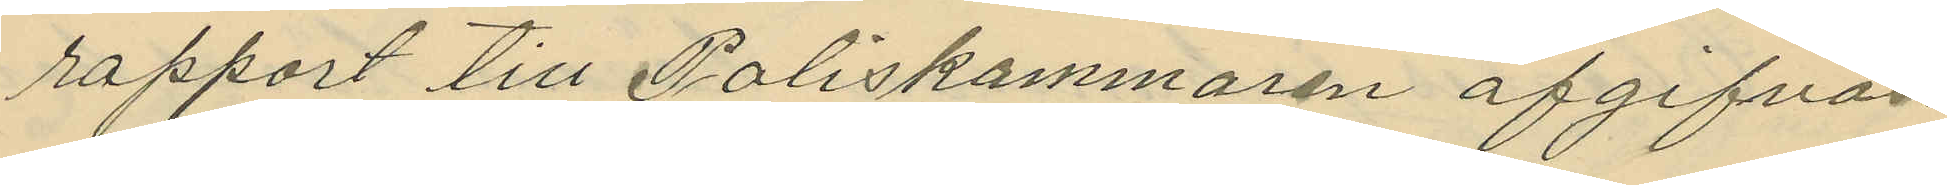rapport till Poliskammaren afgifvas.
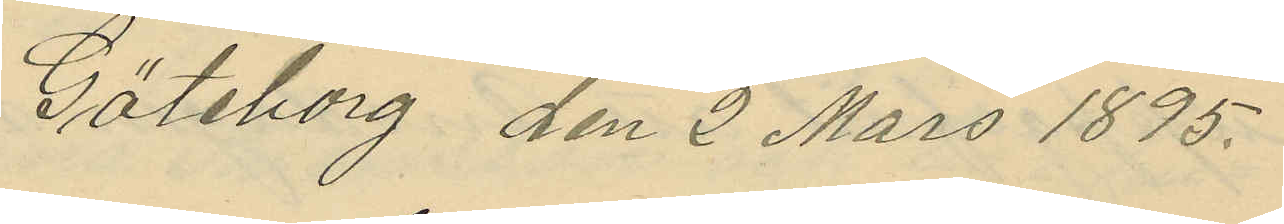Göteborg den 2 Mars 1895.
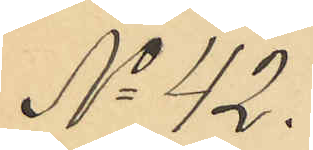No 42.
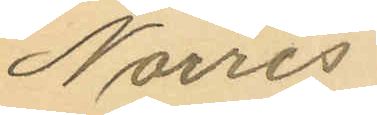Norris
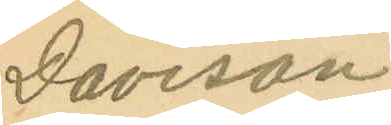Davison.
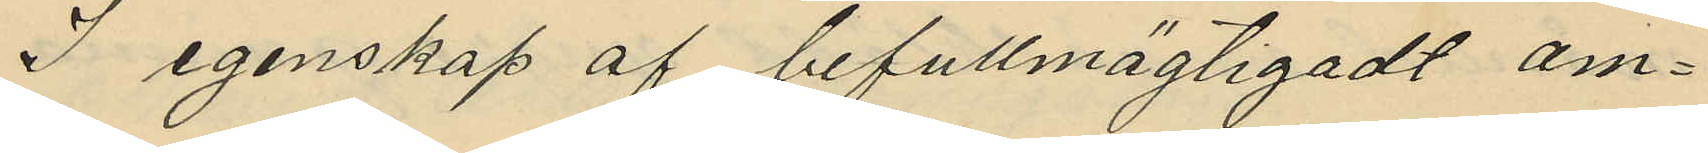I egenskap af befullmägtigadt om¬
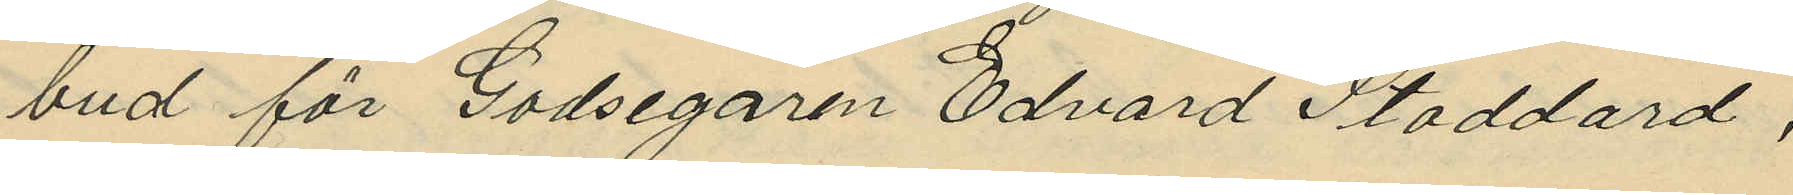bud för Godsegaren Edvard Stoddard,
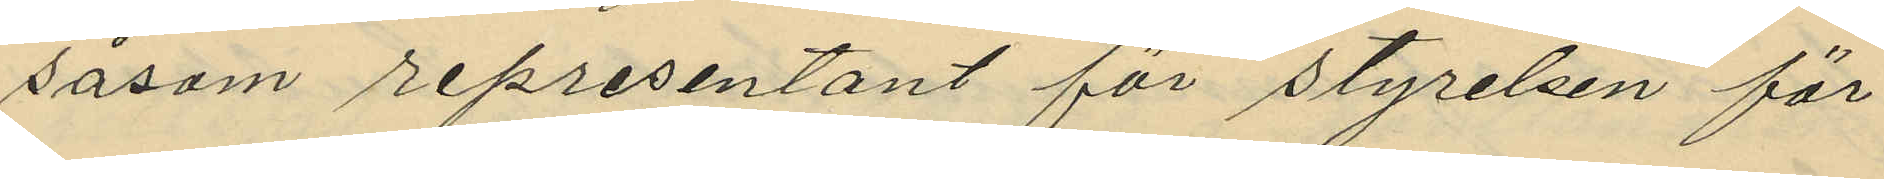såsom representant för styrelsen för
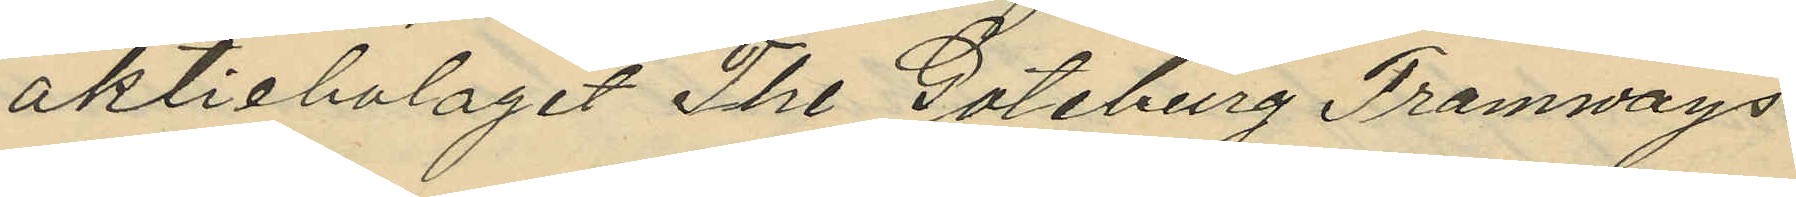aktiebolaget The Goteburg Tramways
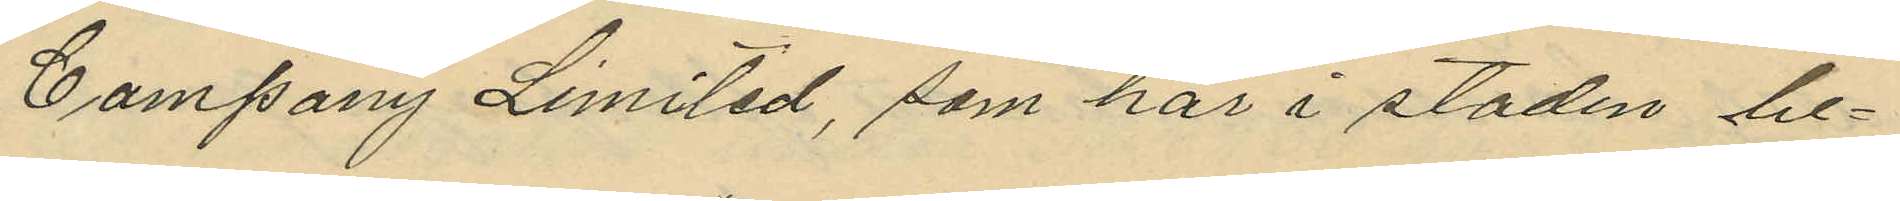Company Limited, som här i staden be¬
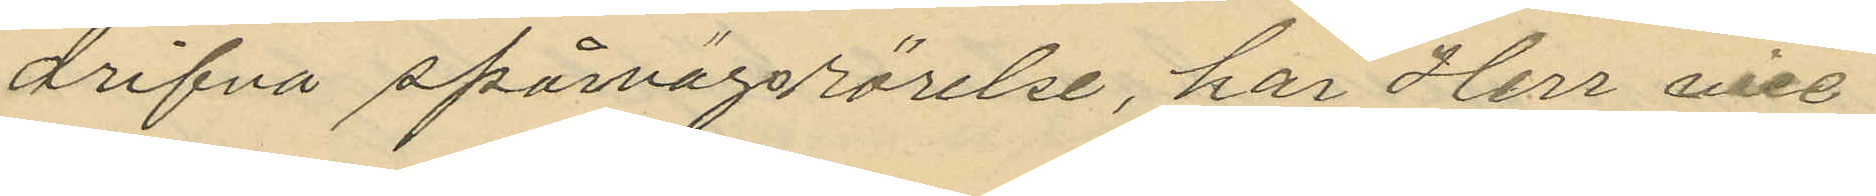drifva spårvägsrörelse, har Herr vice
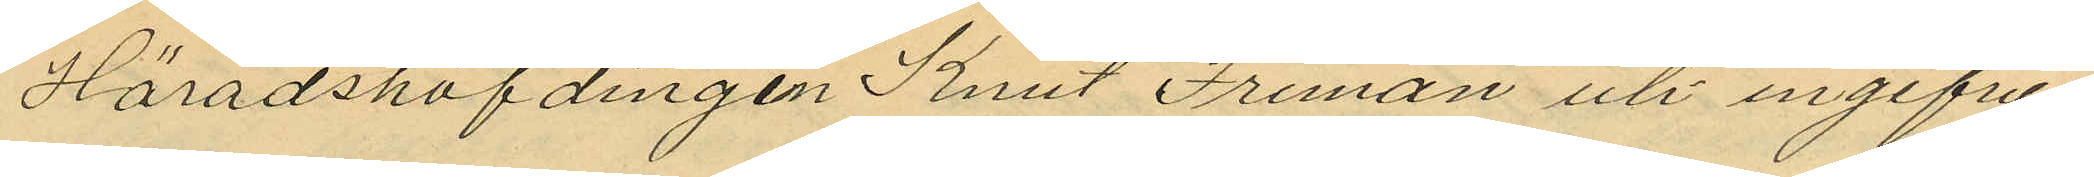Häradshöfdingen Knut Friman uti ingifven
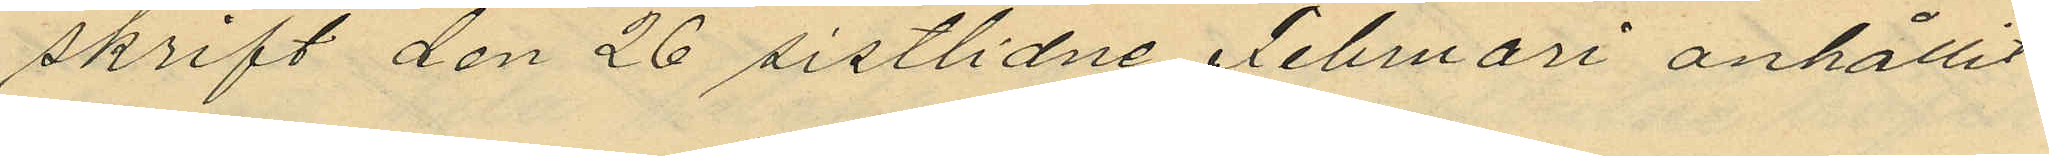skrift den 26 sistlidne Februari anhållit
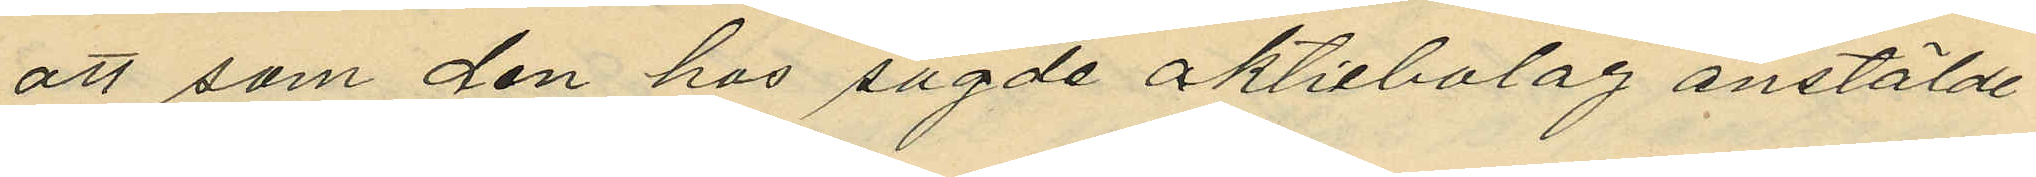att som den hos sagde aktiebolag anstälde
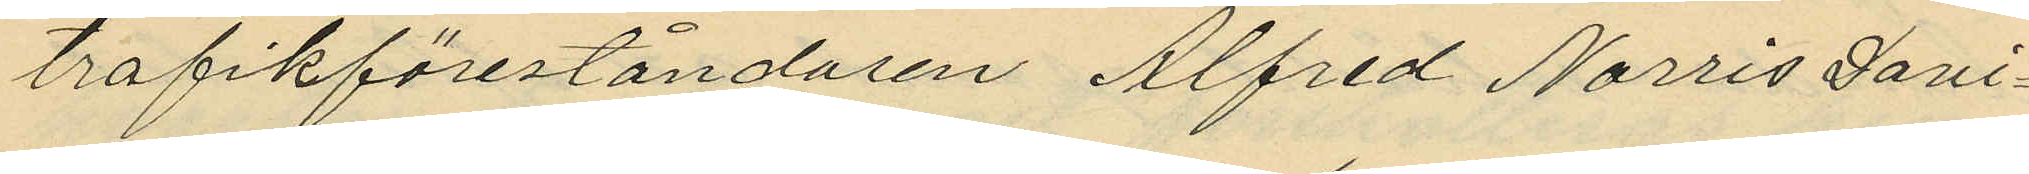trafikföreståndaren Alfred Norris Davi¬
